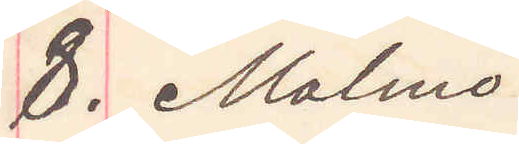8. Malmö
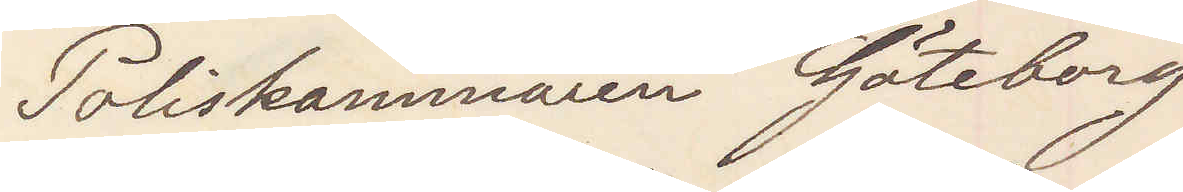Poliskammaren Göteborg
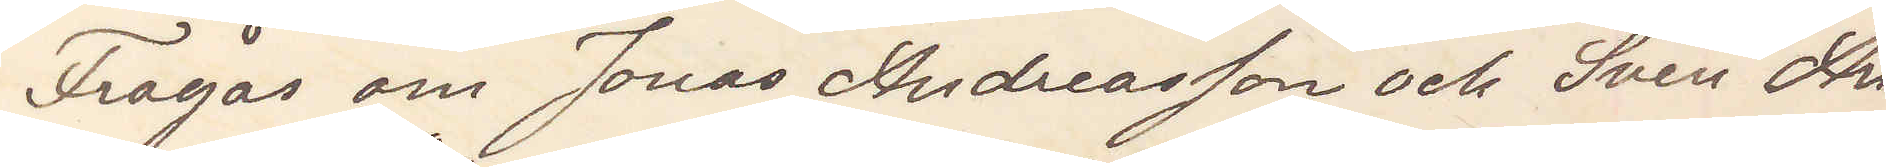Fragås om Jonas Andersson och Sven An¬
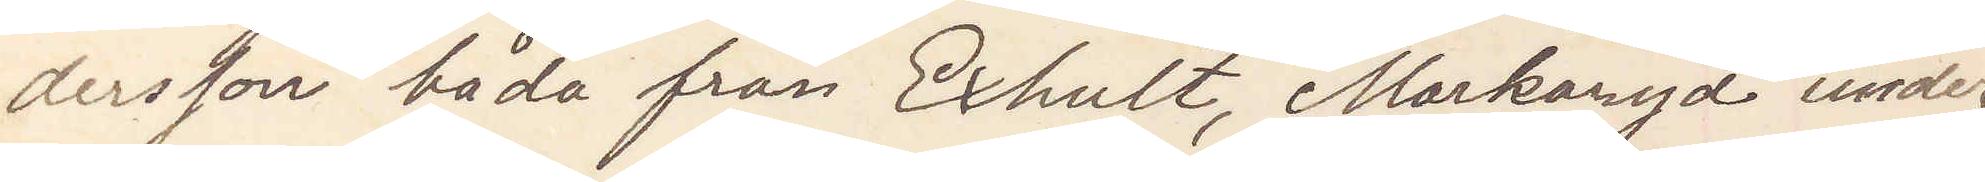dersson båda från Exhult, Markaryd under
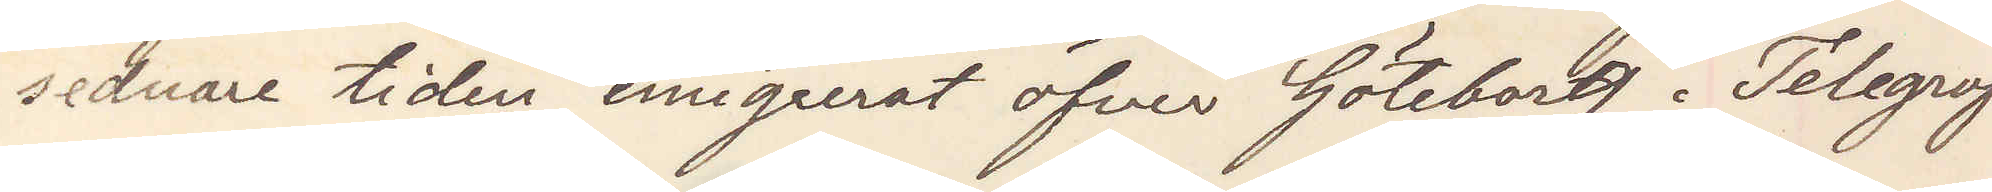sednare tiden emigrerat öfver Göteborg. Telegraf¬
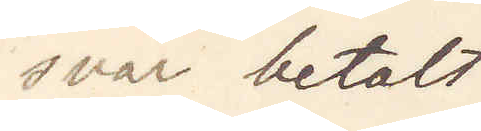svar betalt
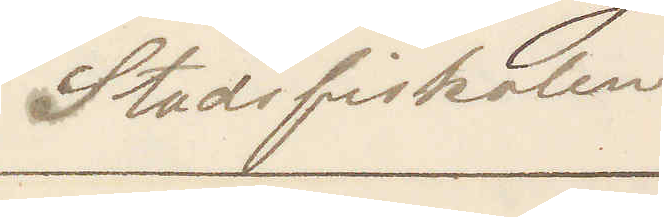Stadsfiskalen
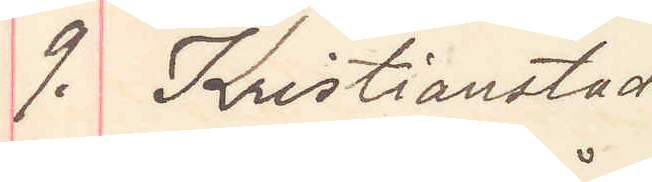9. Kristianstad
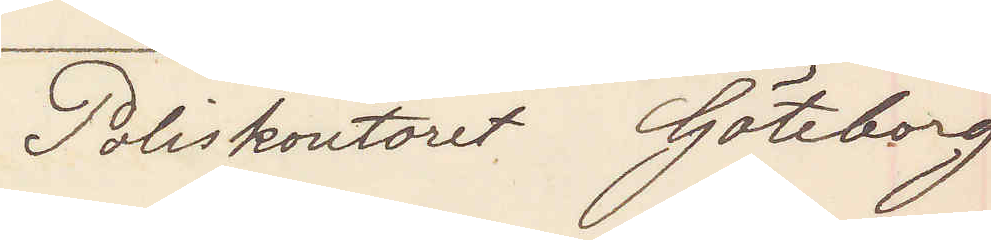Poliskontoret Göteborg
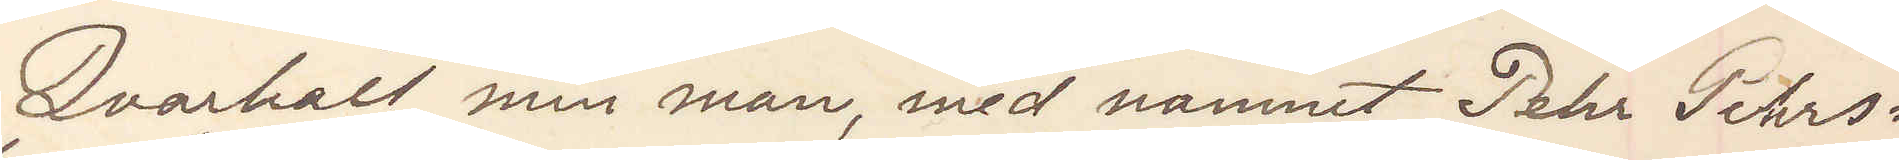Qvarhåll min man, med namnet Pehr Pehrs¬
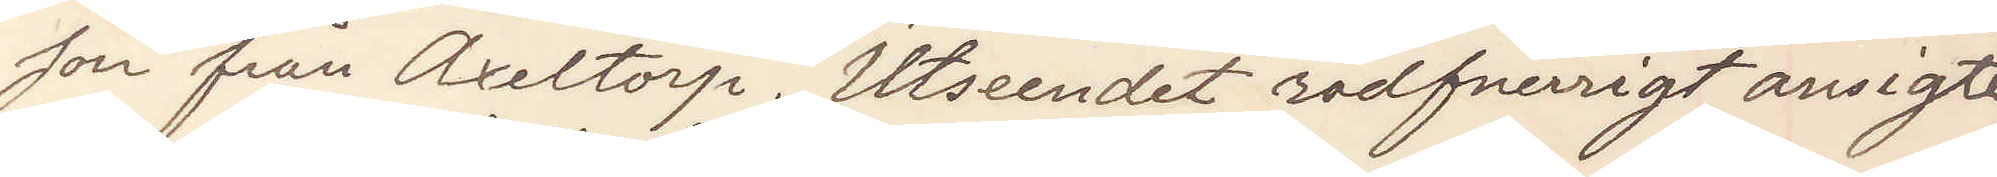son från Axeltorp. Utseendet rödfnerrigt ansigte
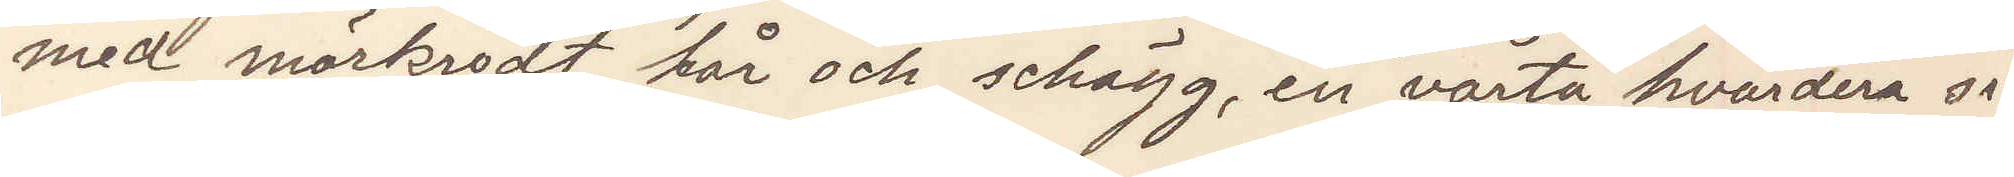med mörkrödt hår och schägg, en vårta hvardera si¬
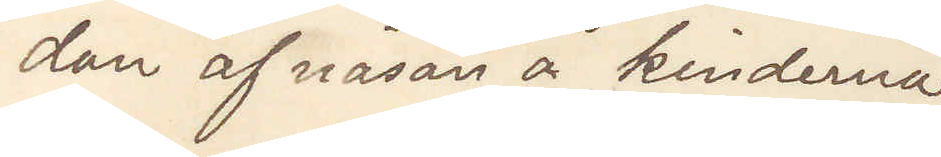dan af näsan å kinderna
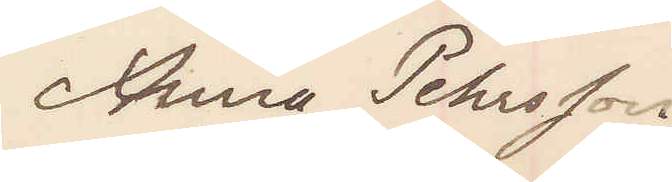Anna Pehrsson
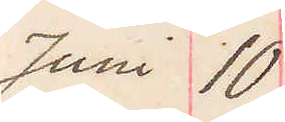Juni 10
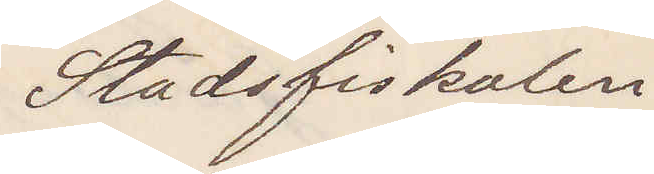Stadsfiskalen
